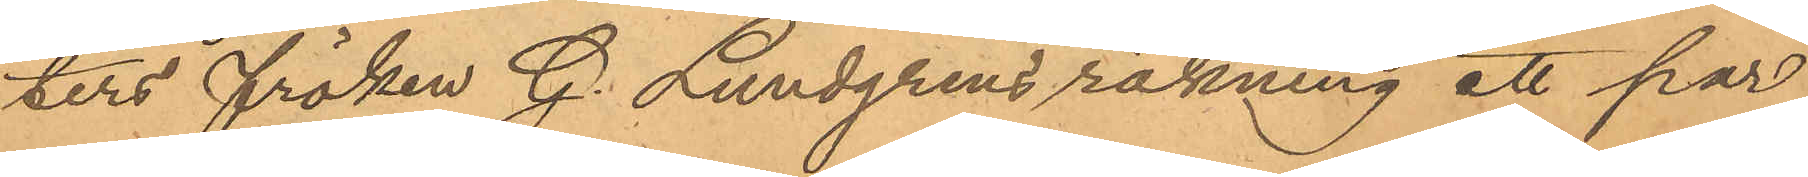ters fröken G. Lundgrens räkning ett par
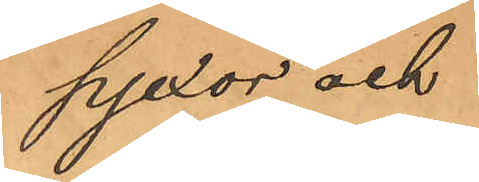pjexor och
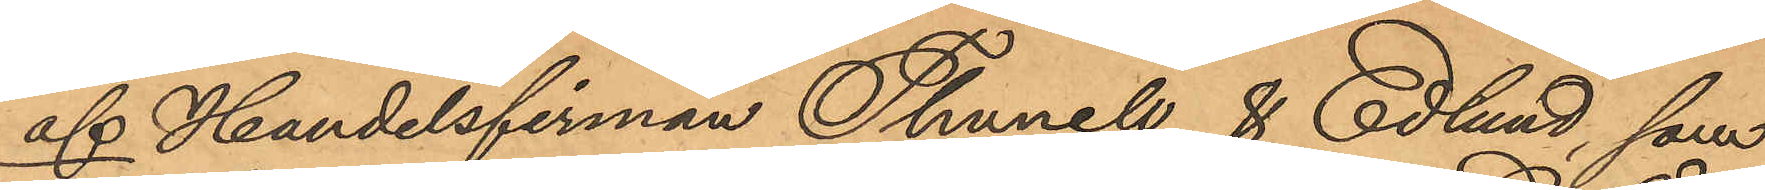af Handelsfirman Thunell & Edlund, som
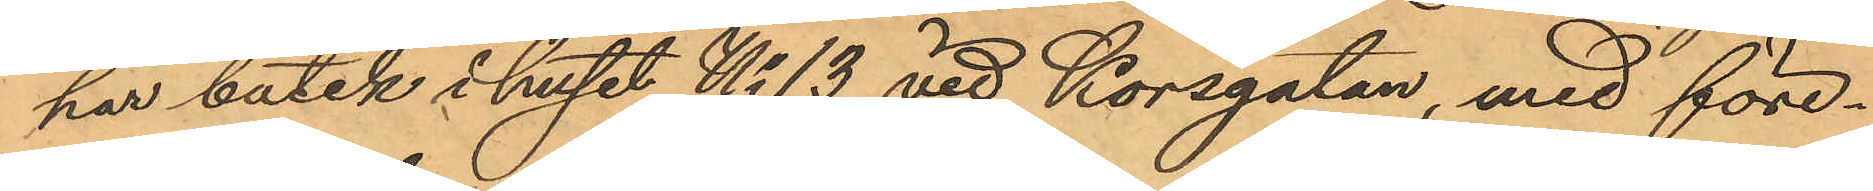har butik i huset No 13 vid Korsgatan, med före¬
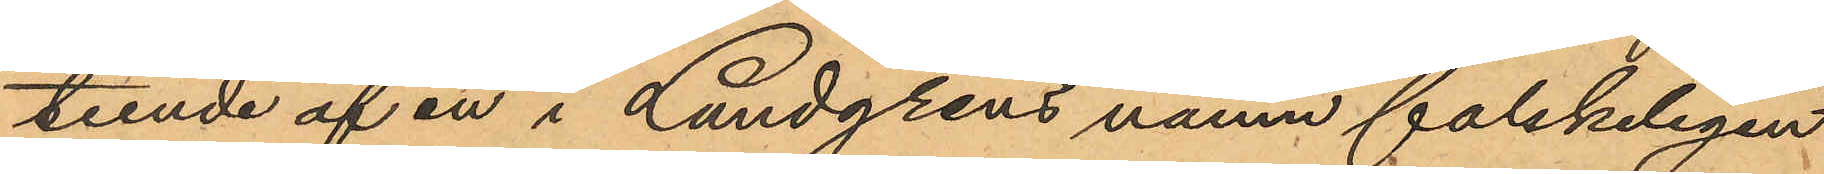teende af en i Lundgrens namn falskeligen
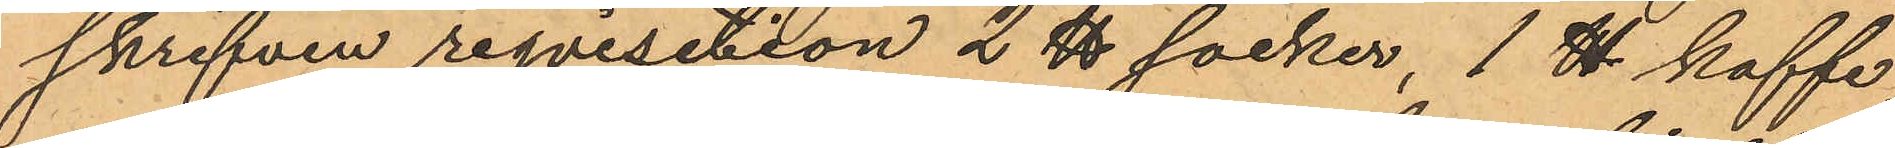skrifven reqvisition 2 ℔ socker, 1 ℔ kaffe,
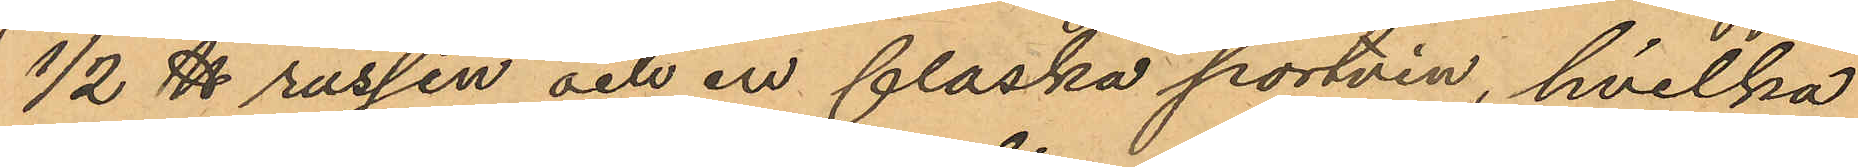12 ℔ russin och en flaska portvin, hvilka
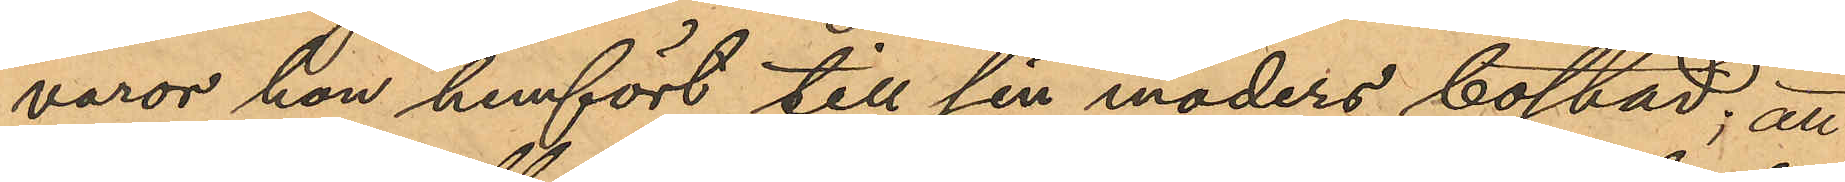varor hon hemfört till sin moders bostad; att
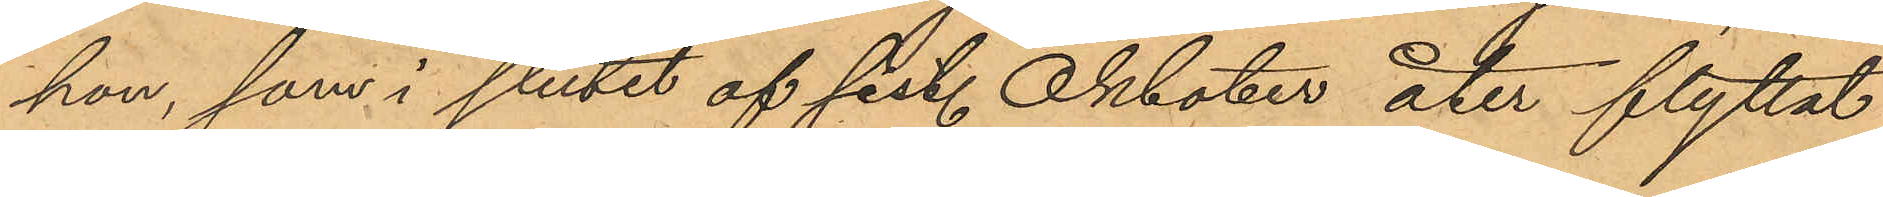hon, som i slutet af sist. Oktober åter flyttat
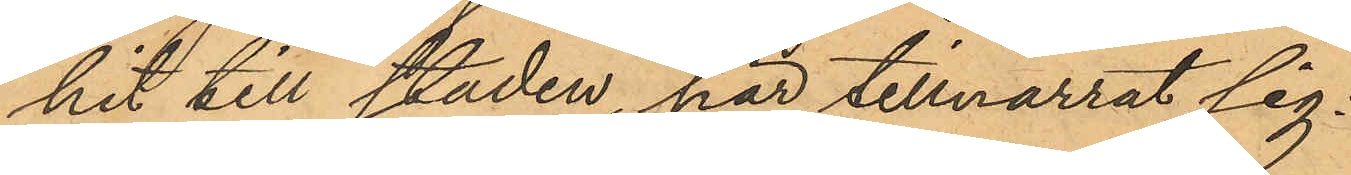hit till staden, har tillnarrat sig.
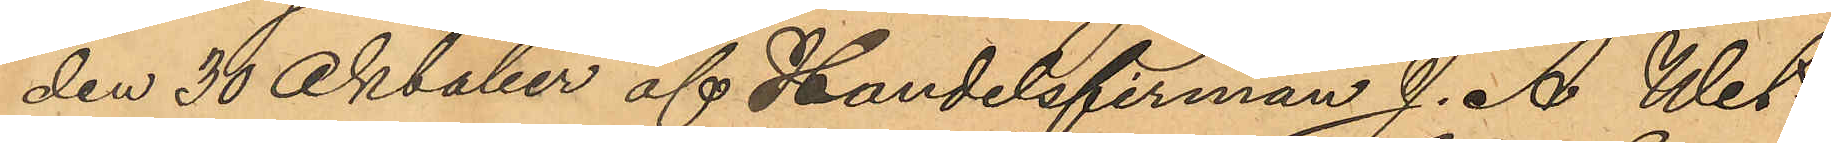den 30 Oktober af Handelsfirman J. A. Wet¬
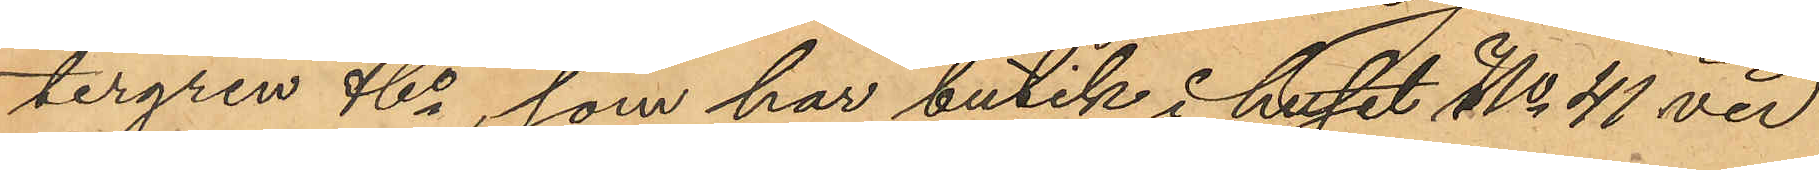tergren & Co, som har butik i huset No 41 vid
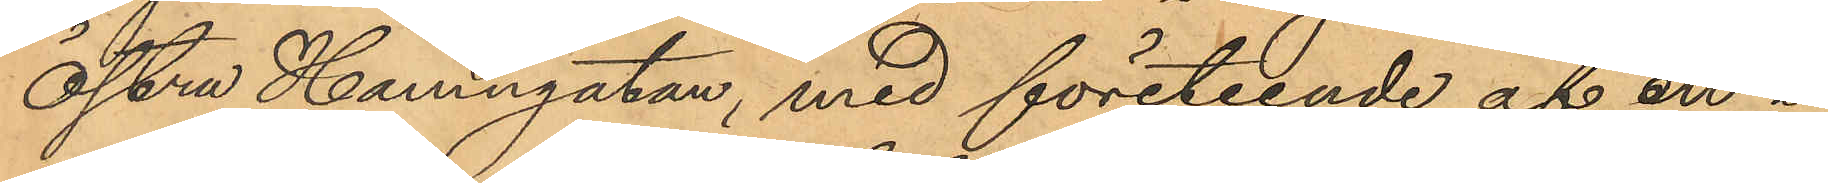Östra Hamngatan, med företeende af en i
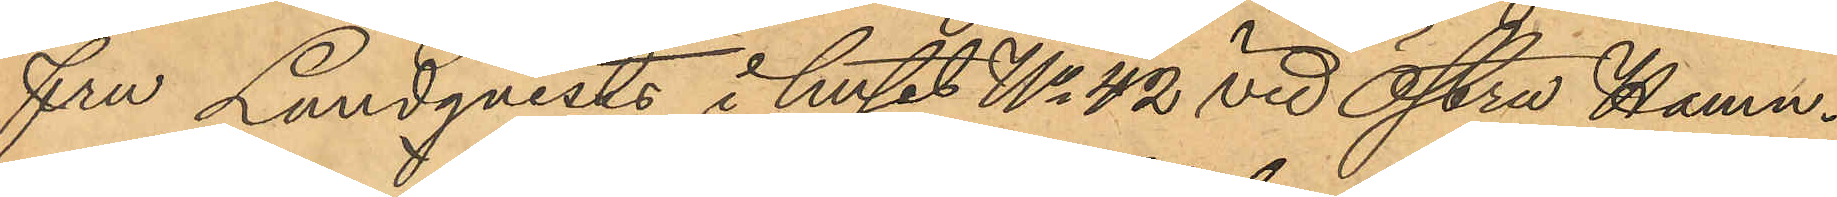fru Lundqvists i huset No 42 vid Östra Hamn¬
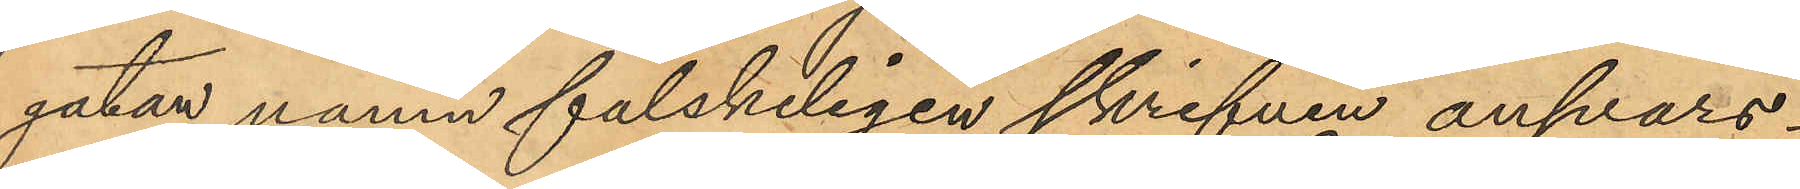gatan namn falskeligen skrifven ansvars¬
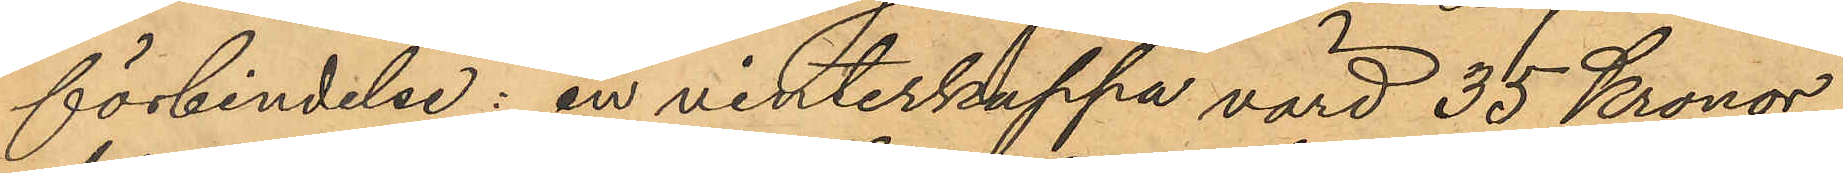förbindelse: en vinterkappa värd 35 Kronor
